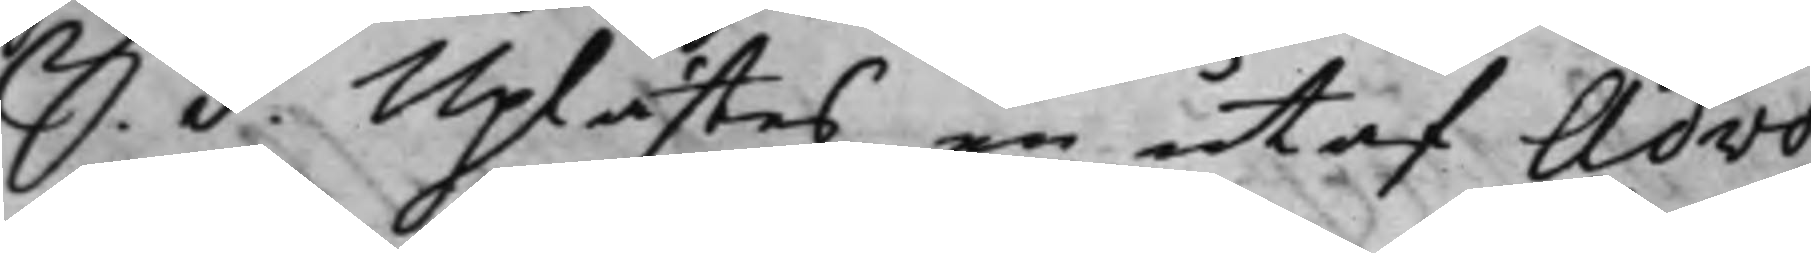S. d. Uplästes en utaf Advo¬
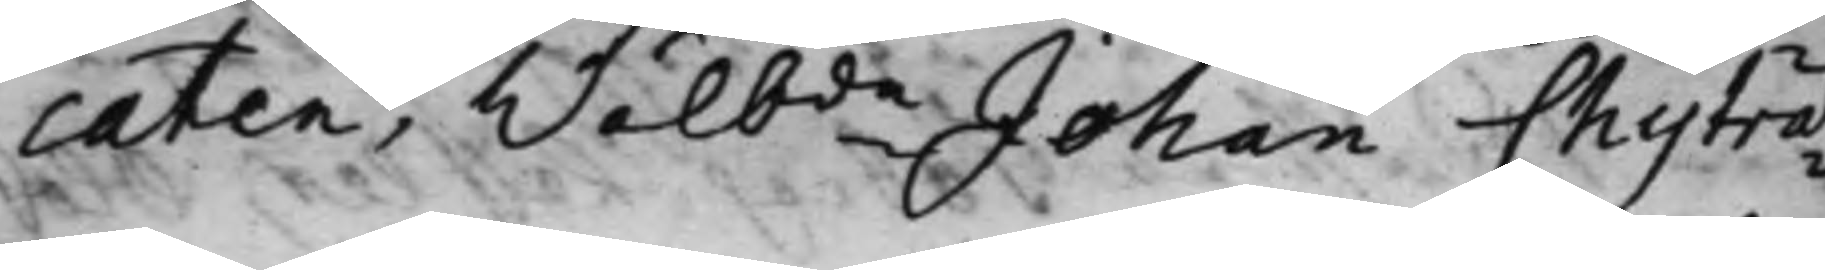caten, Wälbde Johan Chytræ¬
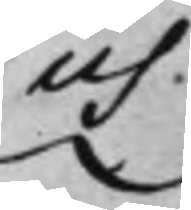us.
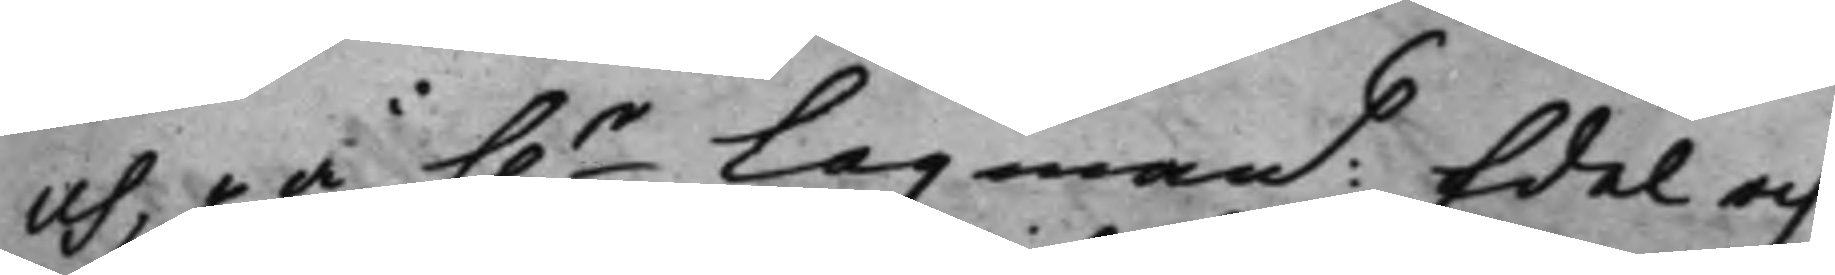och på h.r Lagmans Edel och
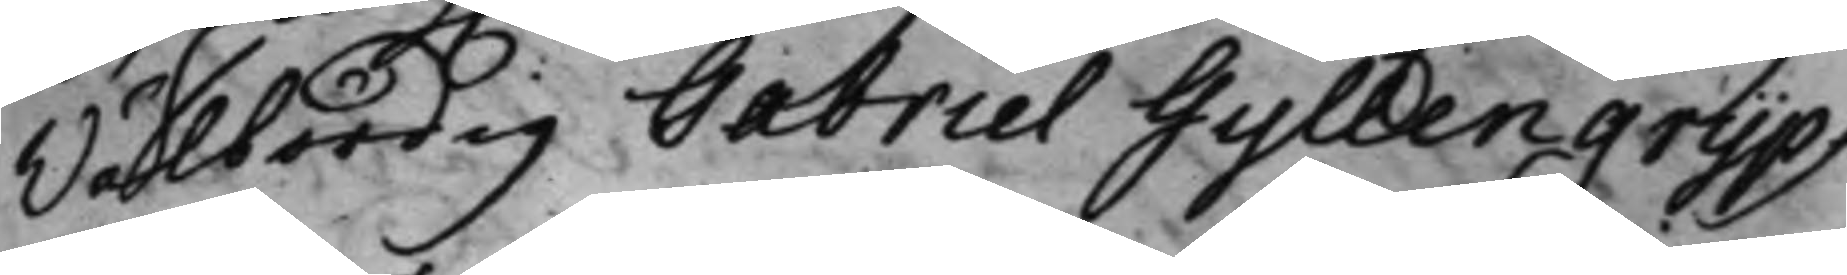Wälbördig Gabriel Gyllengrijps
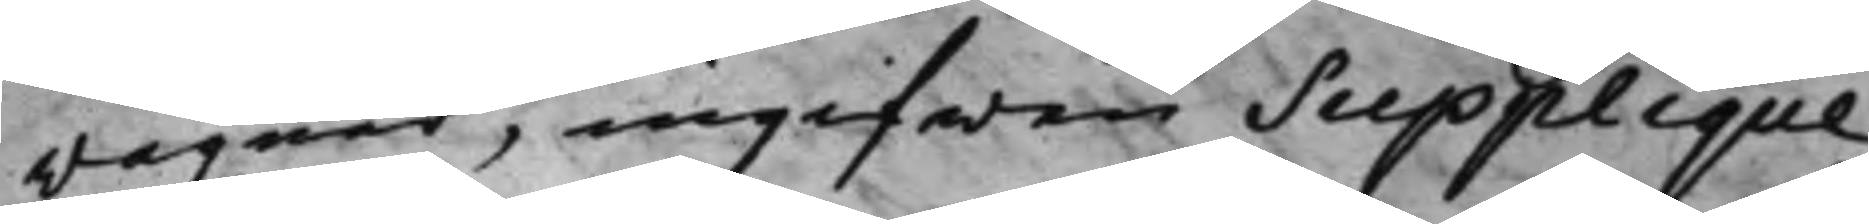wägnar, ingifwen Supplique,
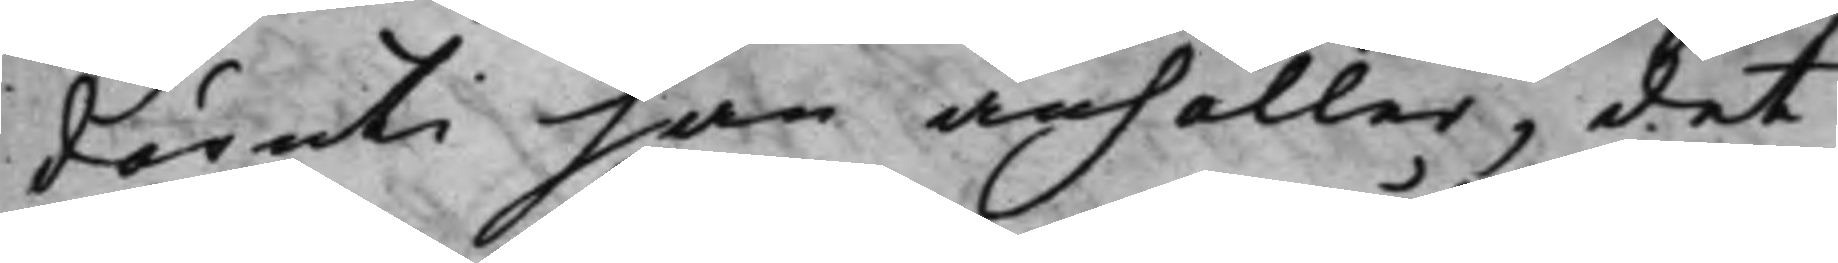däruti han anhåller, det
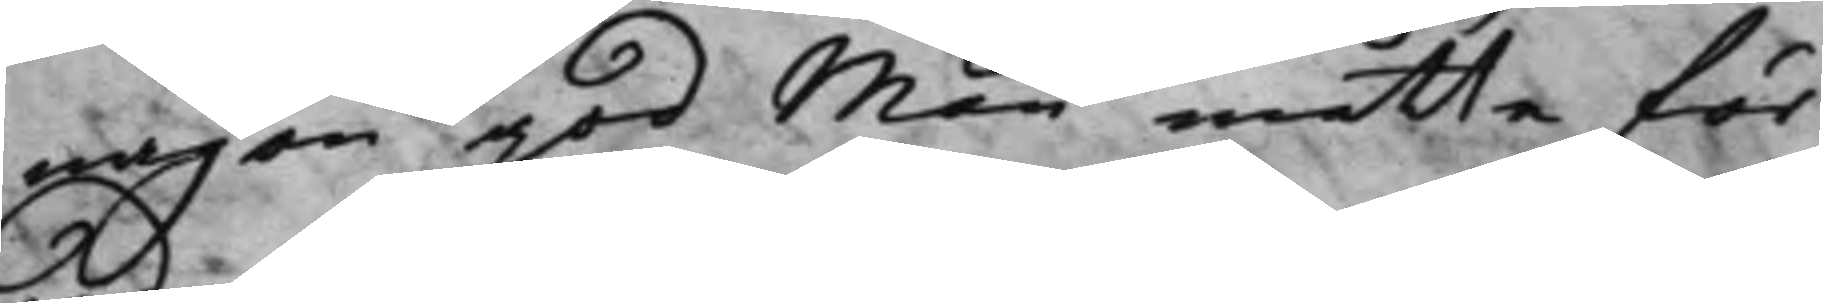någon god Man, måtte för¬
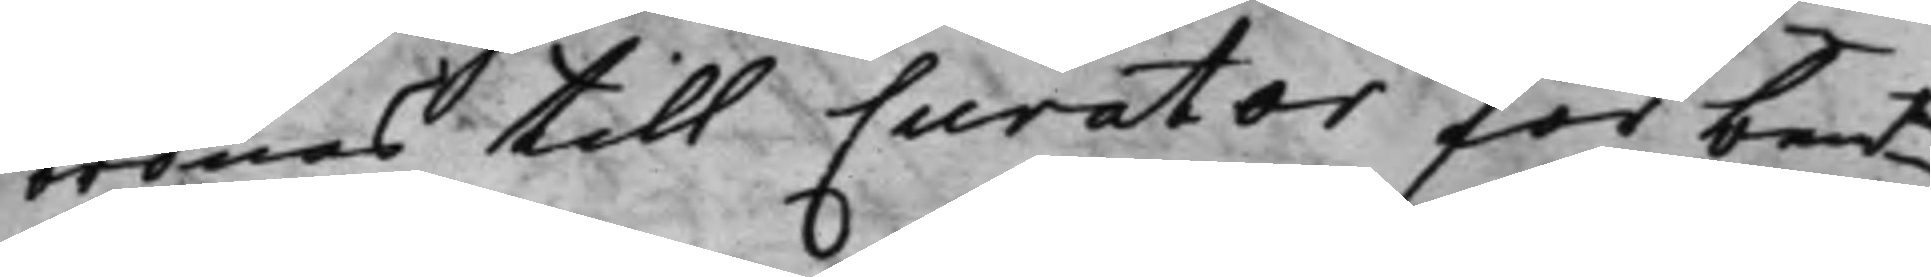ordnas till Curator för bemte
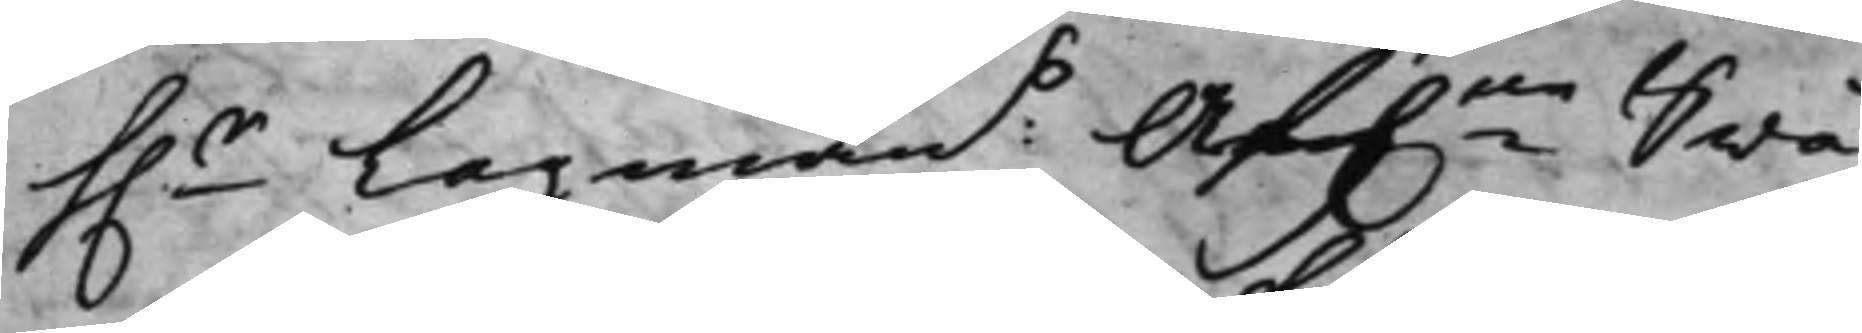h.r Lagmans Af.ne Swå¬
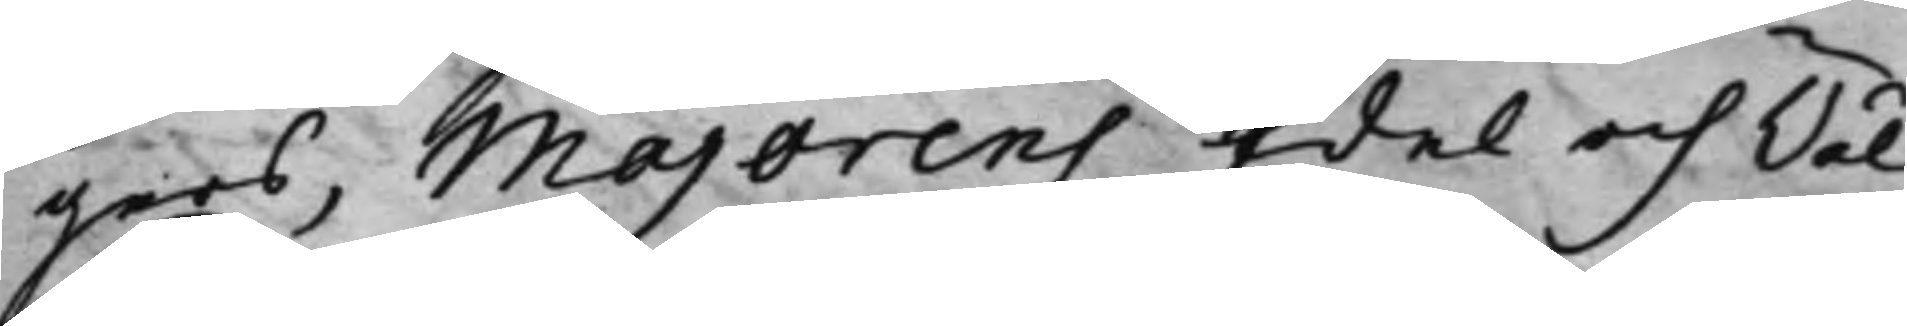gers, Majorens Edel och Wäl¬
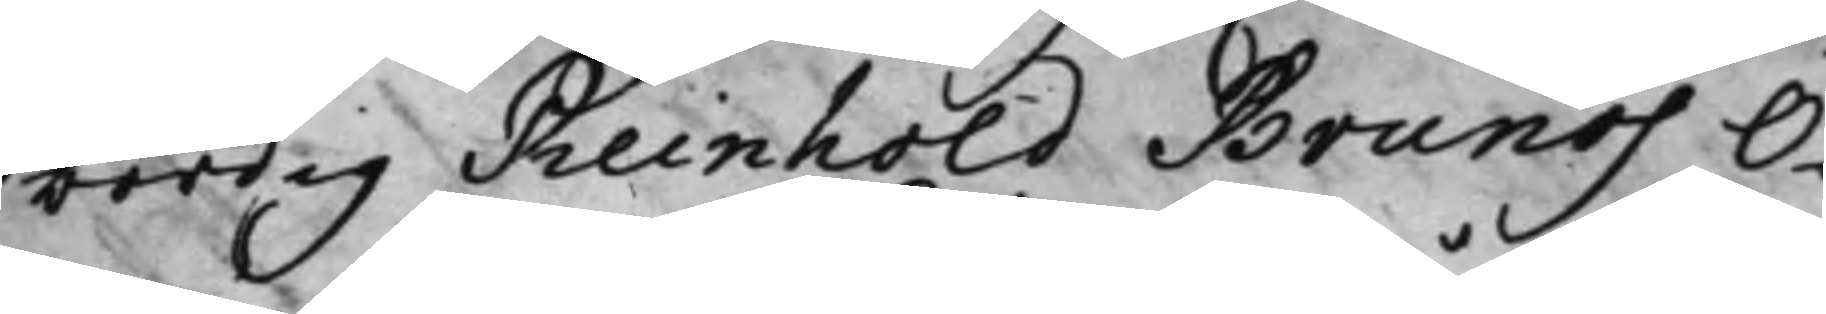bördig Reinhold Brunos O¬
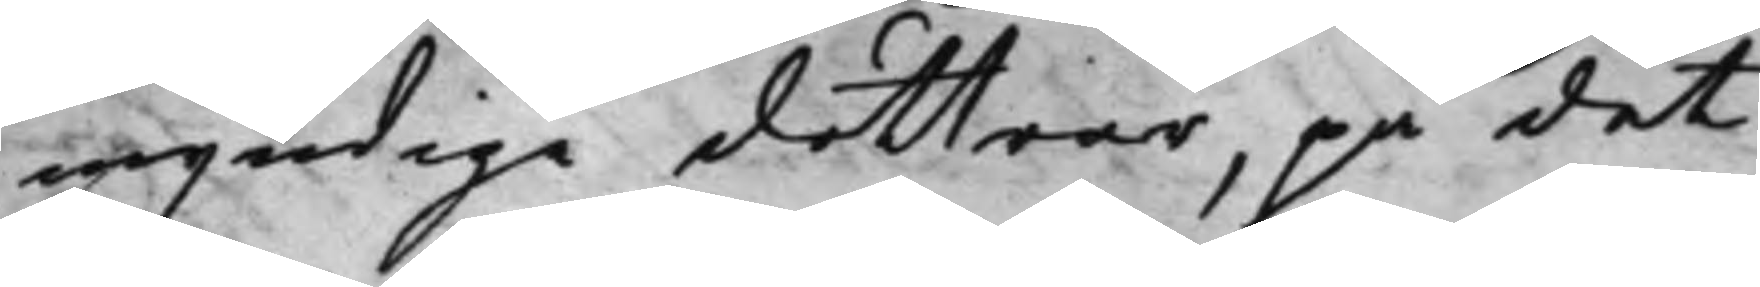myndige döttrar, på det
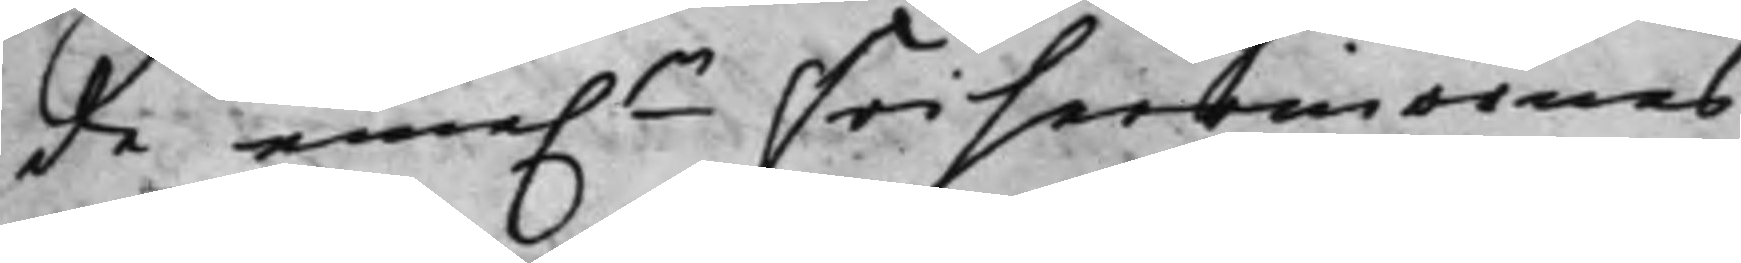de eme.n Friherrinornas
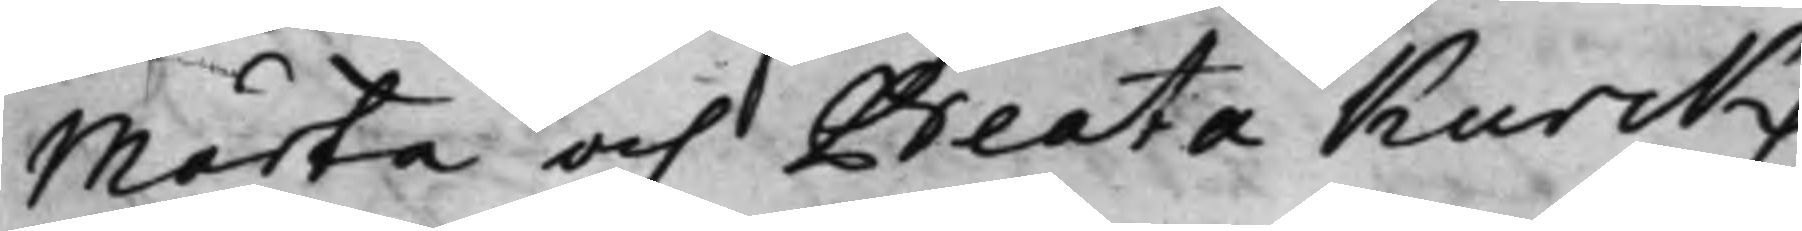Märta och Beata Kurcks
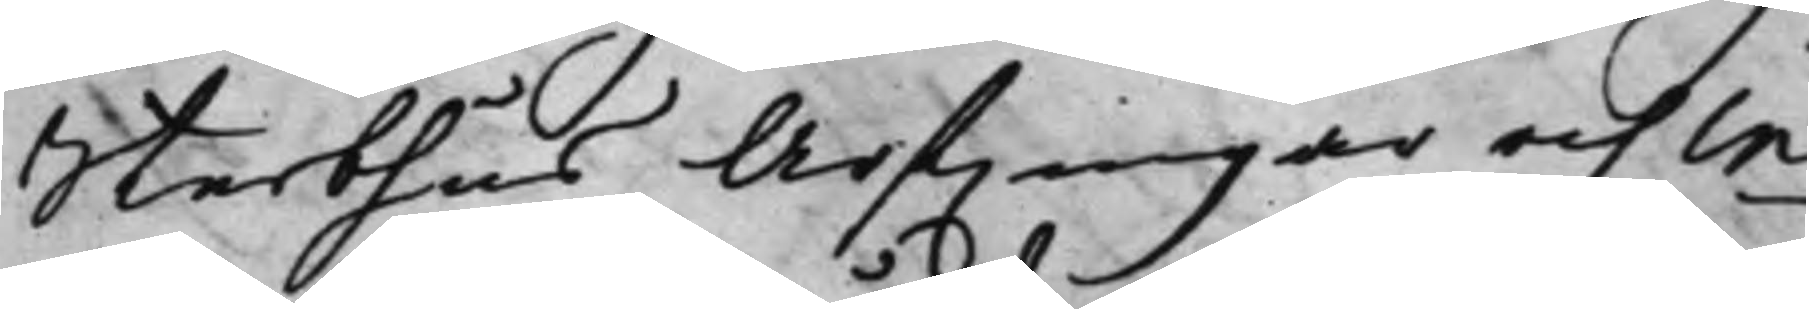Sterbhus Arfwingar och in¬
